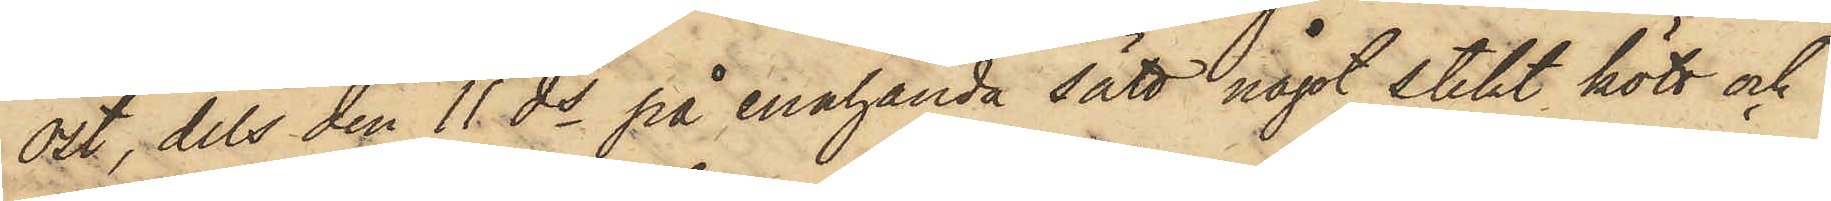ost, dels den 11 ds på enahanda sätt något stekt kött och
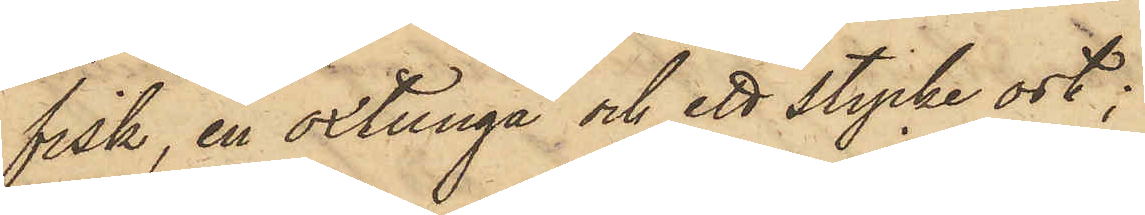fisk, en oxtunga och ett stycke ost;
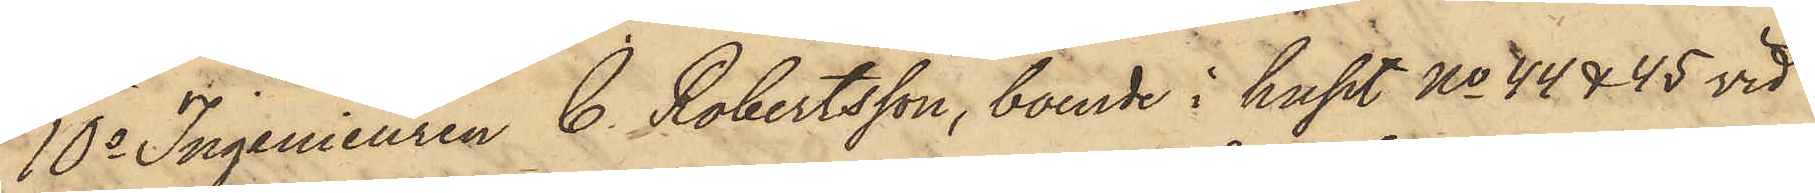10o Ingenieuren C. Robertsson, boende i huset No 44 & 45 vid
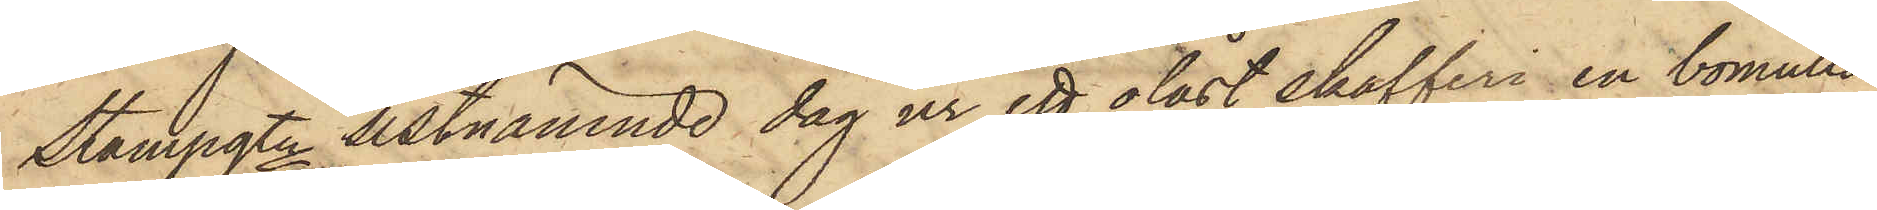Stampgtn sistnämnde dag ur ett olåst skafferi en bomulls¬
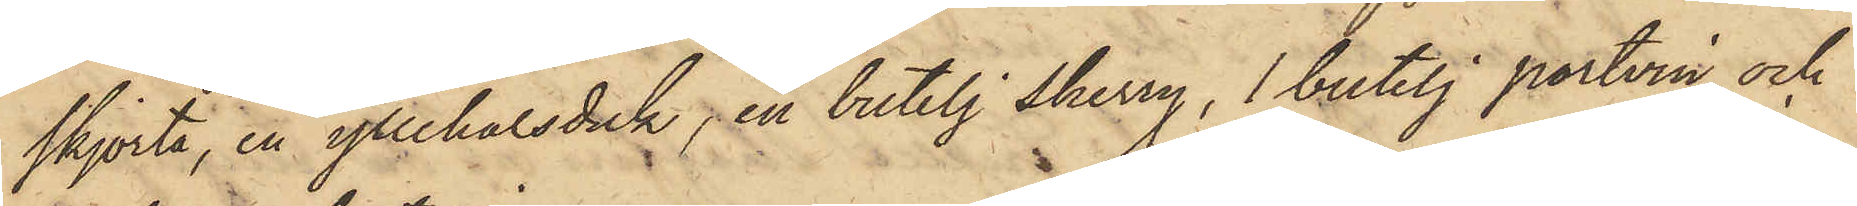skjorta, en yllehalsduk, en butelj sherry, 1 butelj portvin och
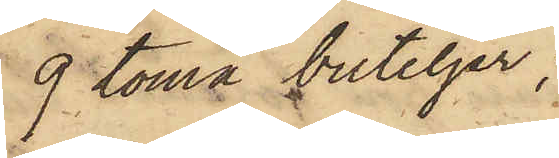9 toma buteljer;
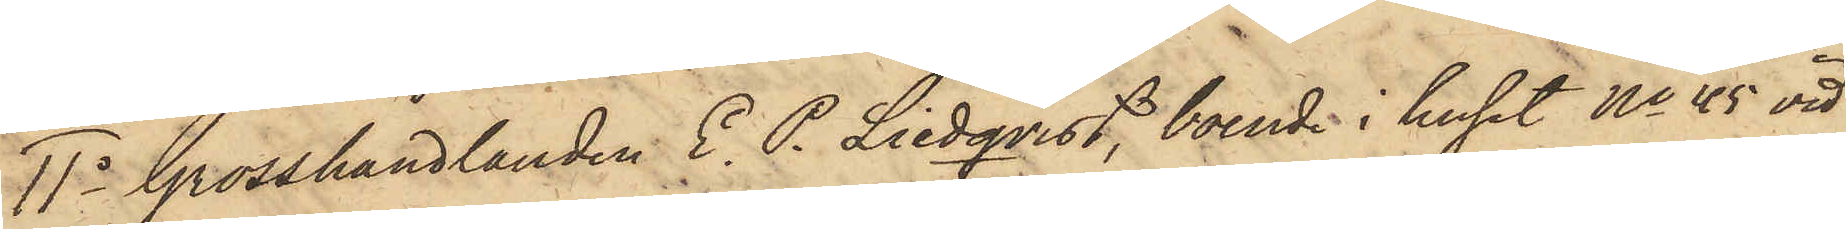11o Grosshandlanden E. P. Liedqvist, boende i huset No 45 vid
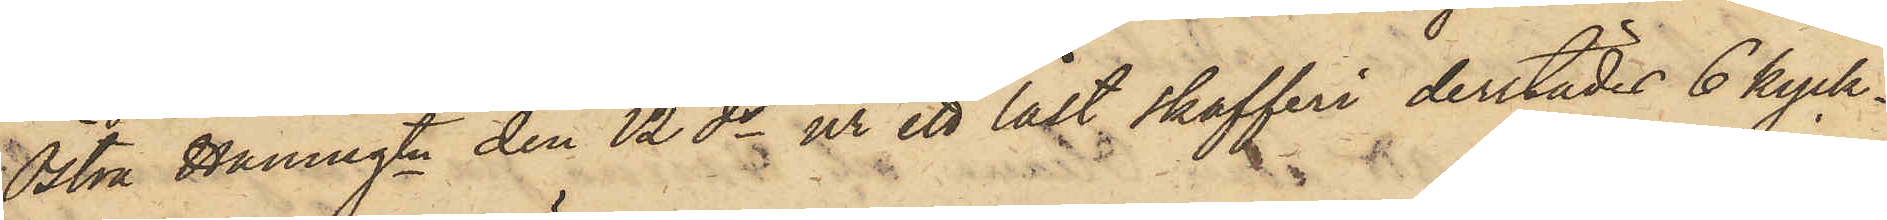Östra Hamngtn den 12 ds ur ett låst skafferi derstädes 6 kyck¬
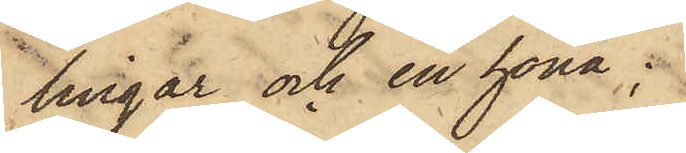lingar och en höna;
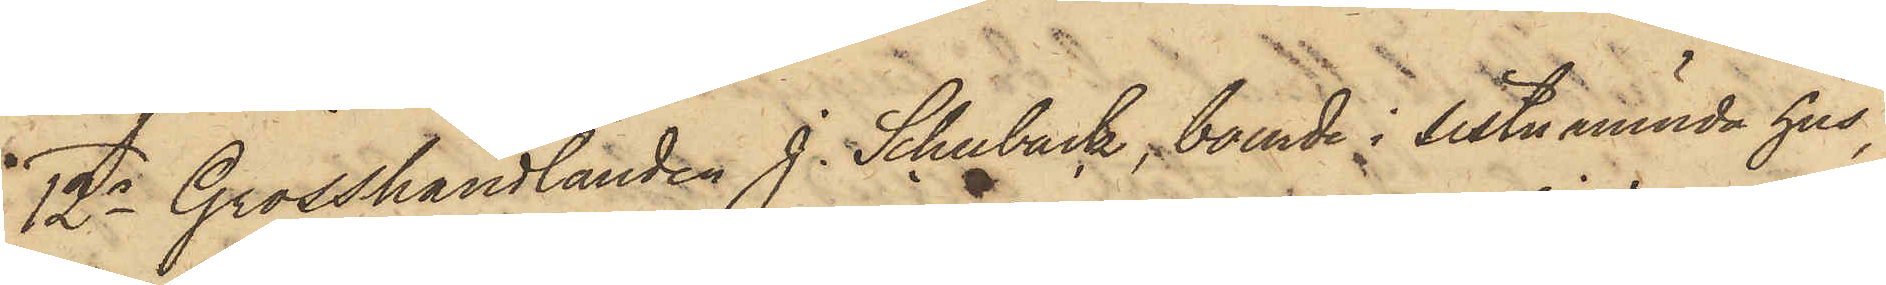12o Grosshandlanden J. Schuback, boende i sistnämnda hus,
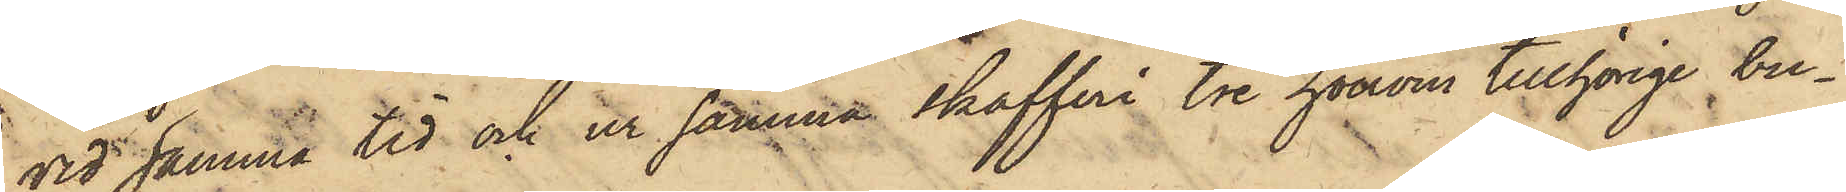vid samma tid och ur samma skafferi tre honom tillhörige bu¬
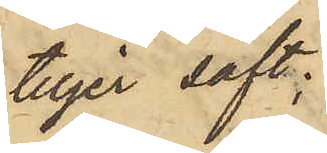teljer saft;
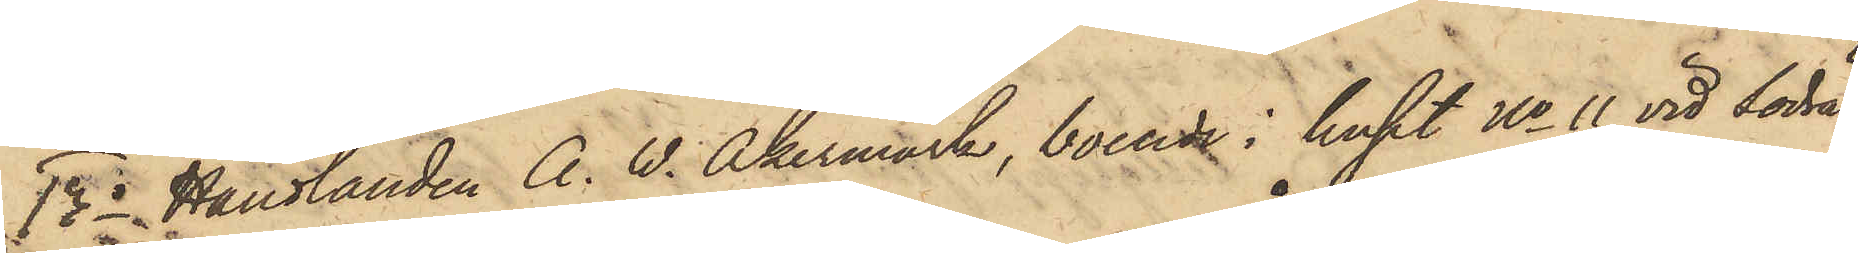13o Handlanden A. W. Åkermark, boende i huset No 11 vid Södra
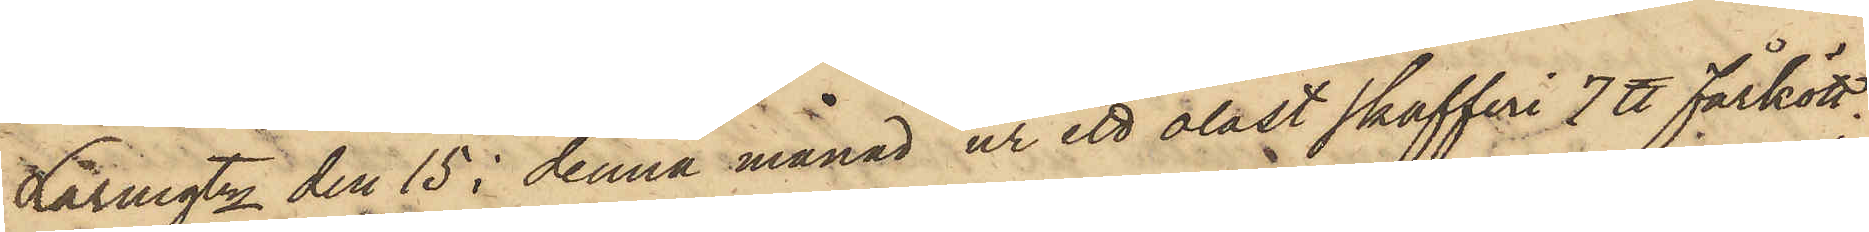Larmgtn den 15 i denna månad ur ett olåst skafferi 7 ℔ fårkött;
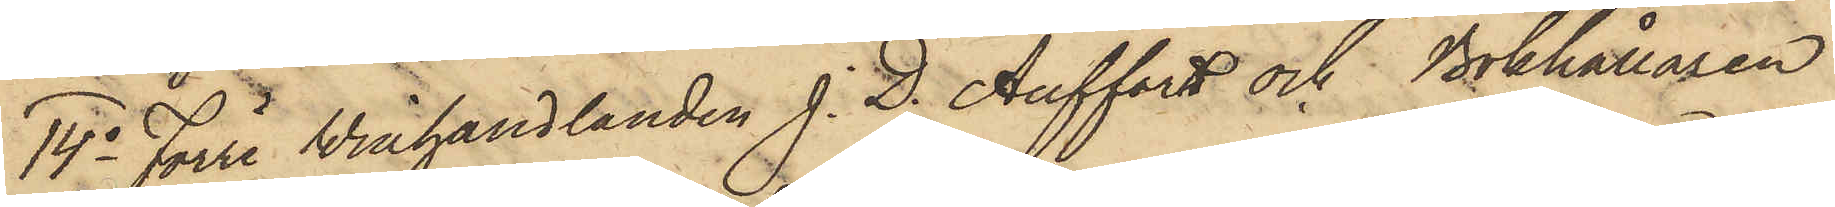14o Förre Winhandlanden J. D. Auffort och Bokhållaren
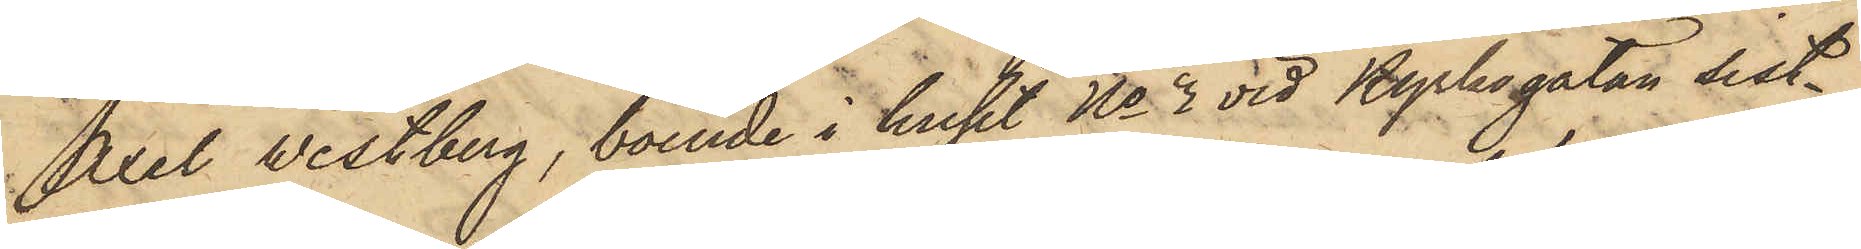Axel Westberg, boende i huset No 3 vid Kyrkogatan sist¬
